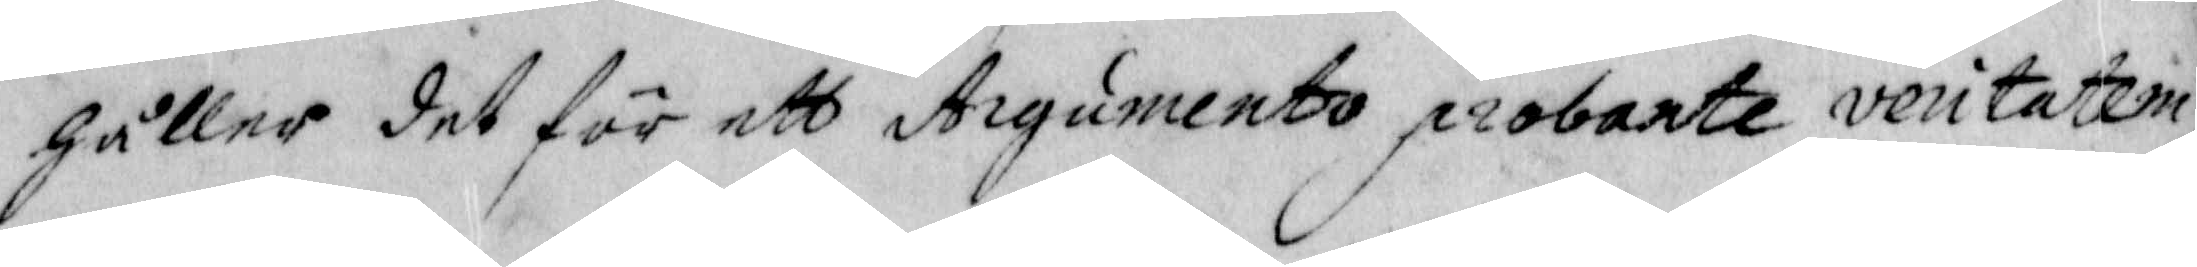håller det för ett Argumento probate veritatem
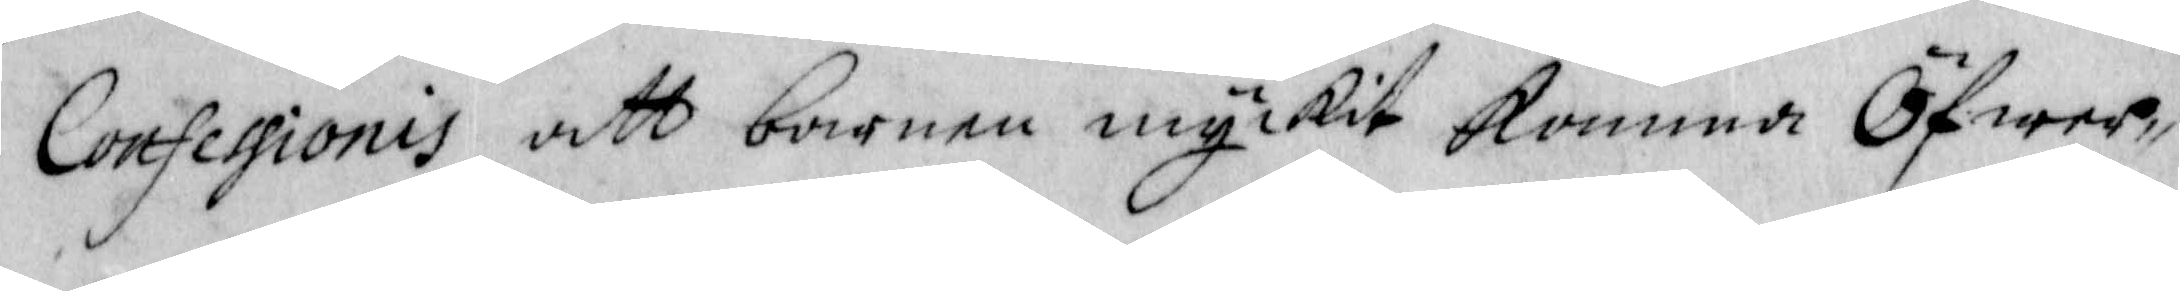Confessionis att barnen myckit komma Öfwer¬
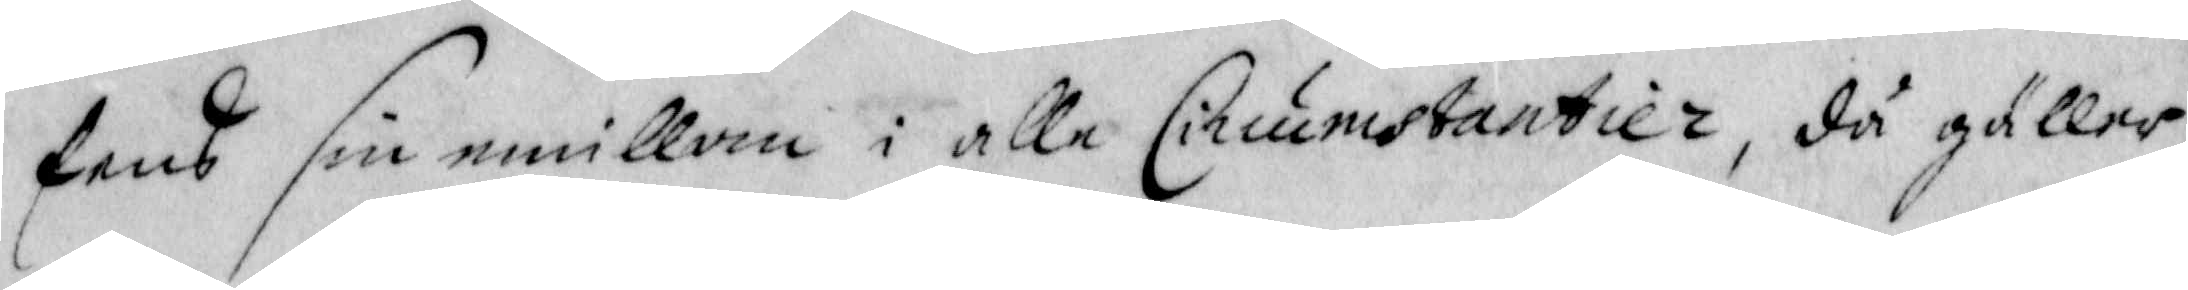sens sins emillan i alle Circumstantier, då gäller
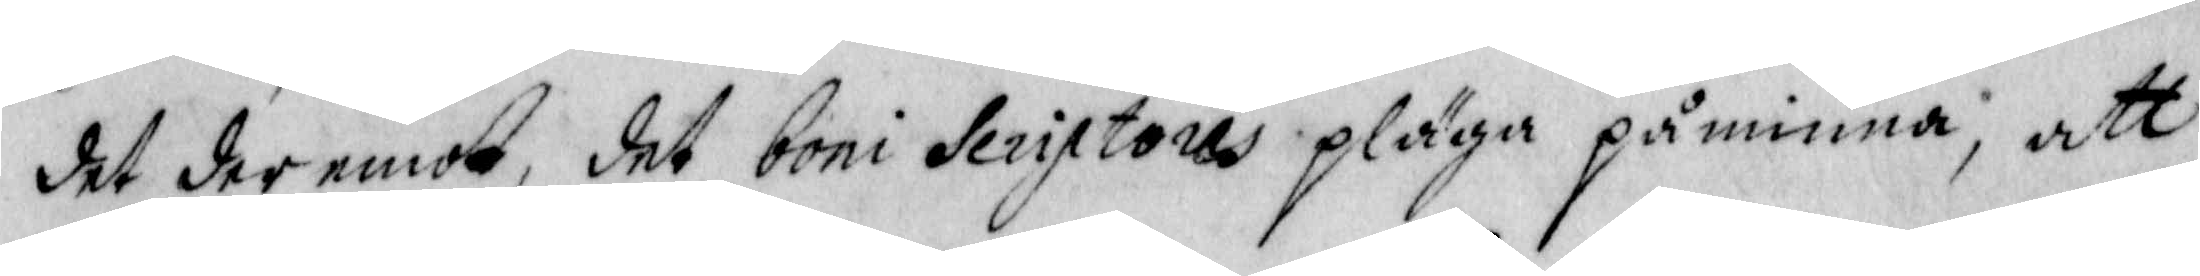det der emot det boni Seristoris pläga påminna, att
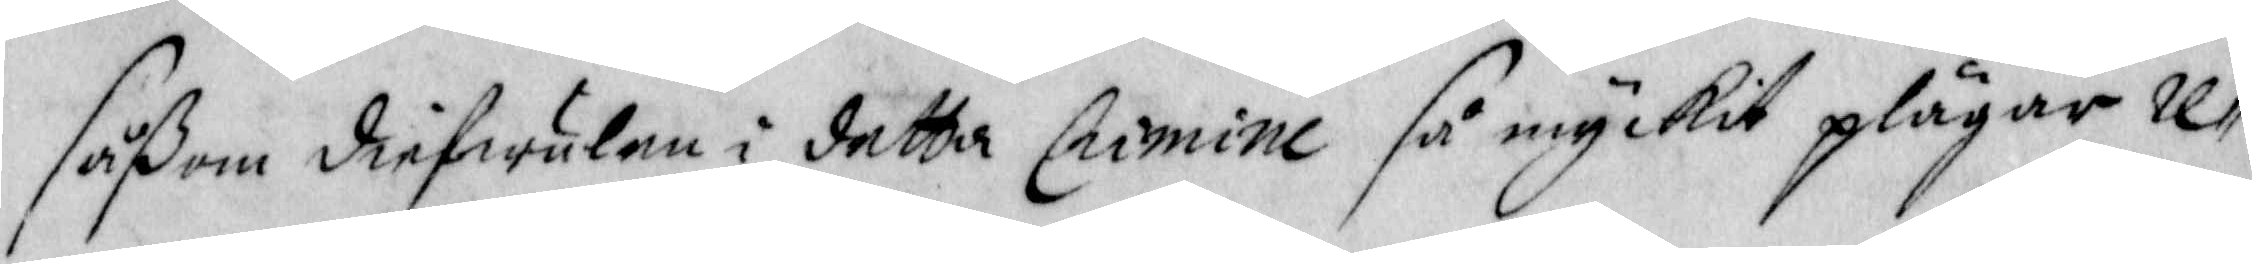såßom diefwulen i detta Crimine så myckit plägar re¬
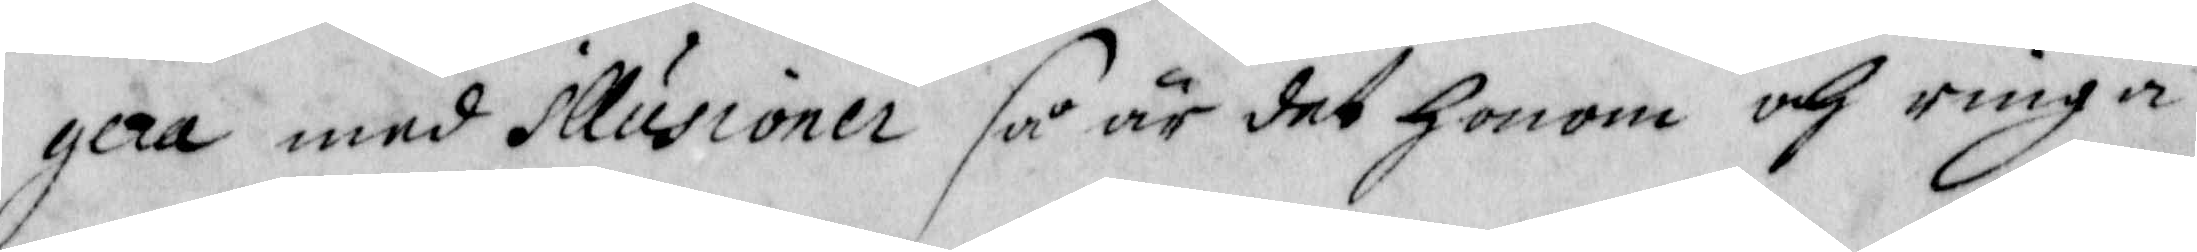gera med Illussioner så är det honom och ringa
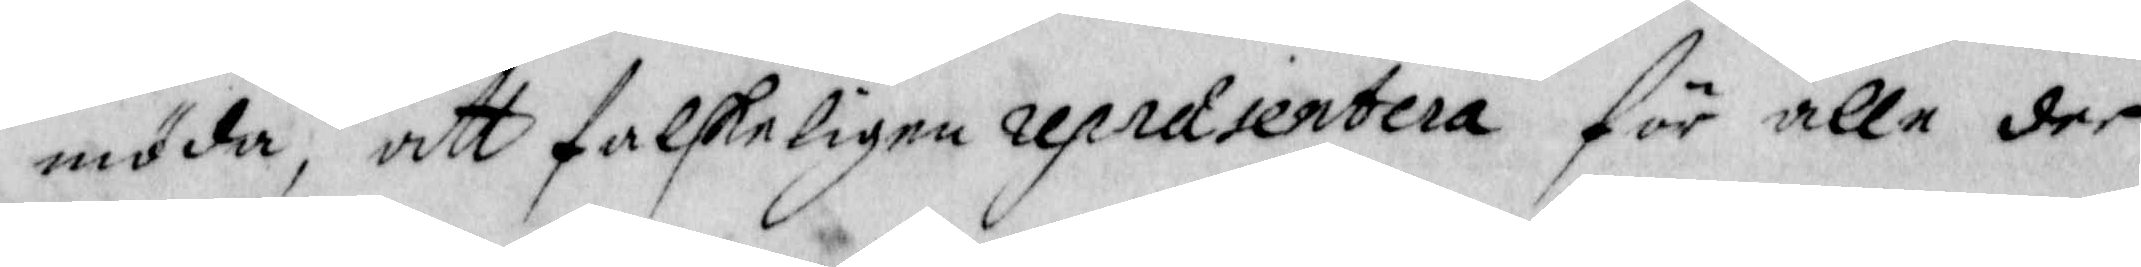möda, att falskeligen repraientera för alle de
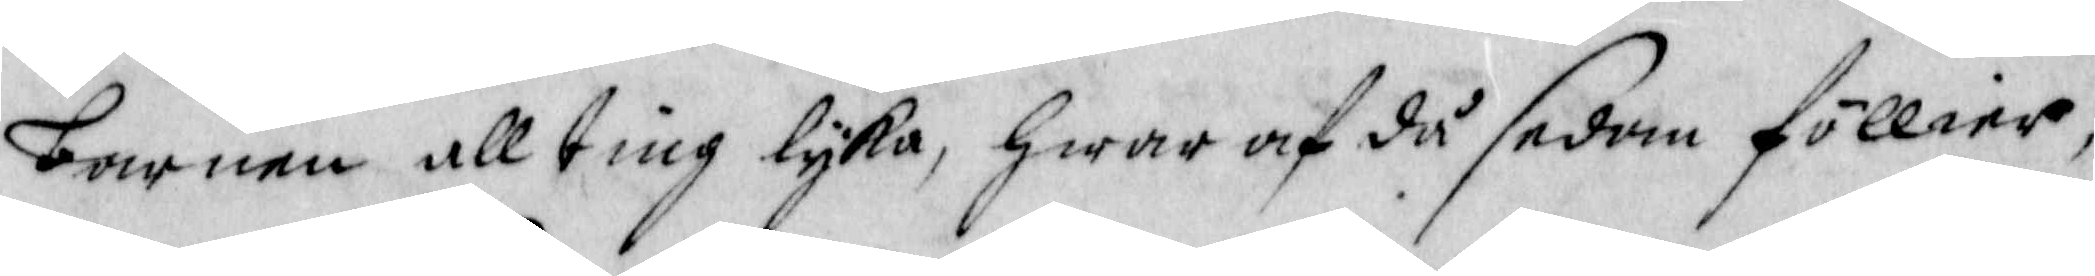barnen allting lyka hwar af då sedan föllier
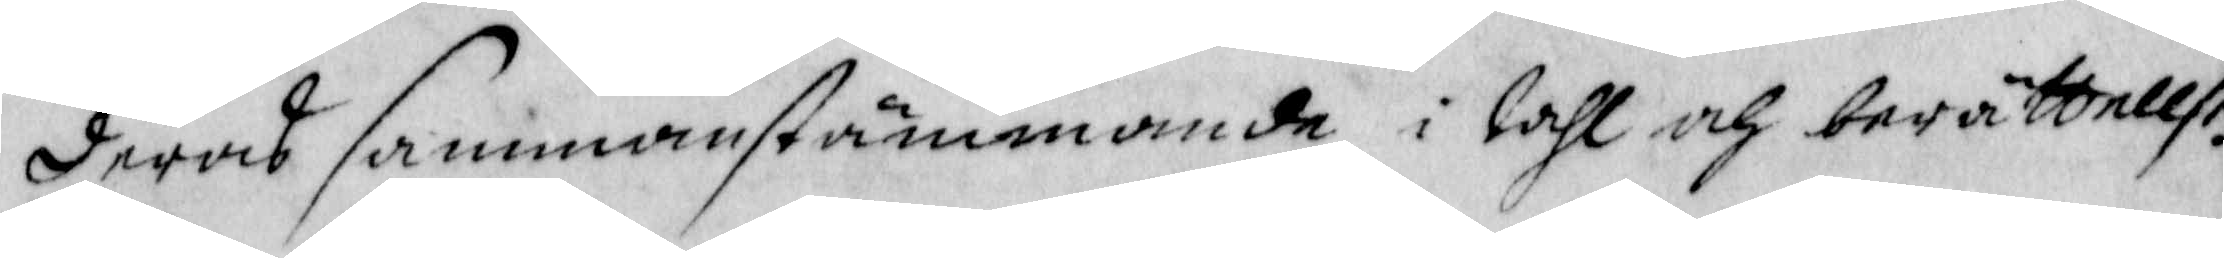deras sammanstämmande i tahl och berättelse.
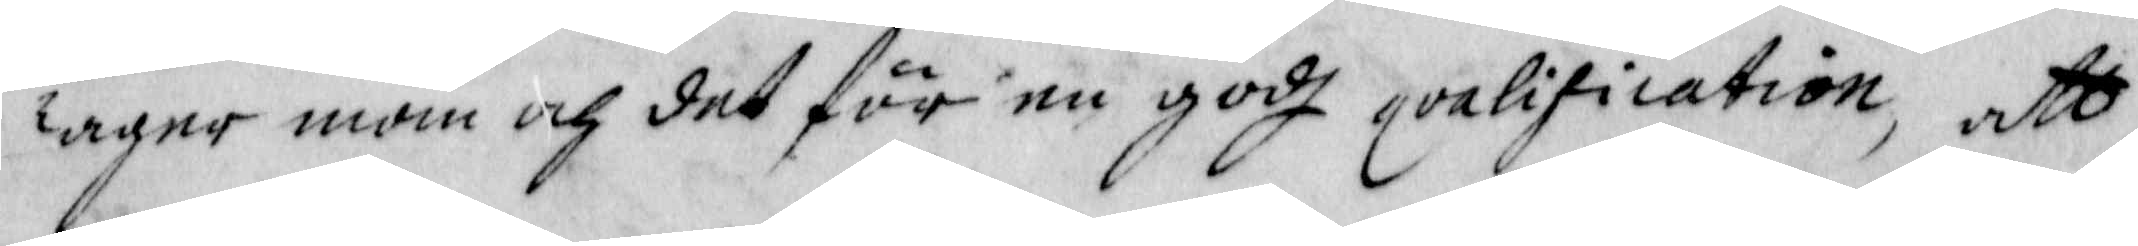Tager man och det för en godh qvalification, att
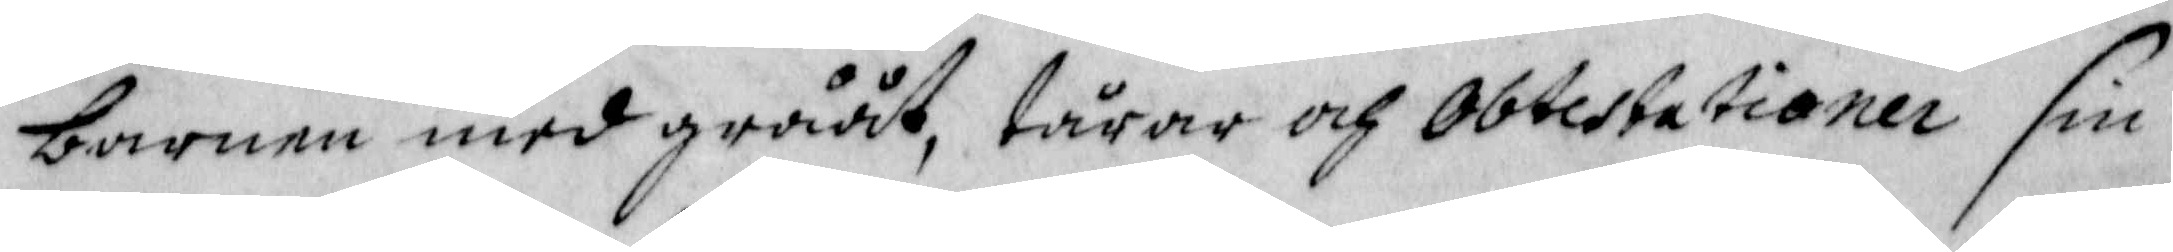barnen med grååt, tårar och abtestetioner sin
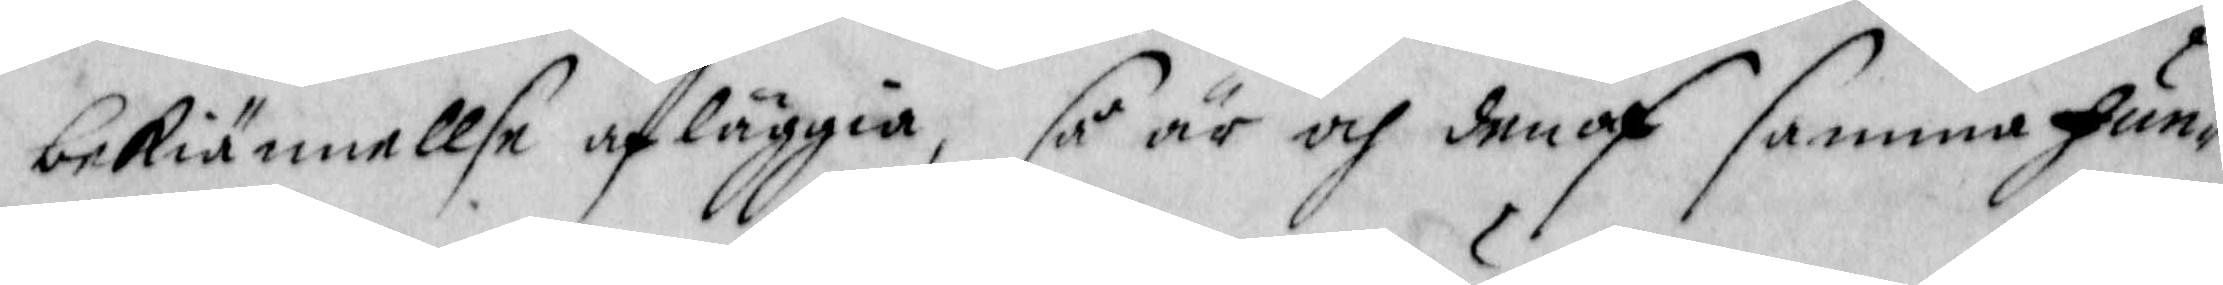bekiännellse afläggia, så är och den af samma fun¬
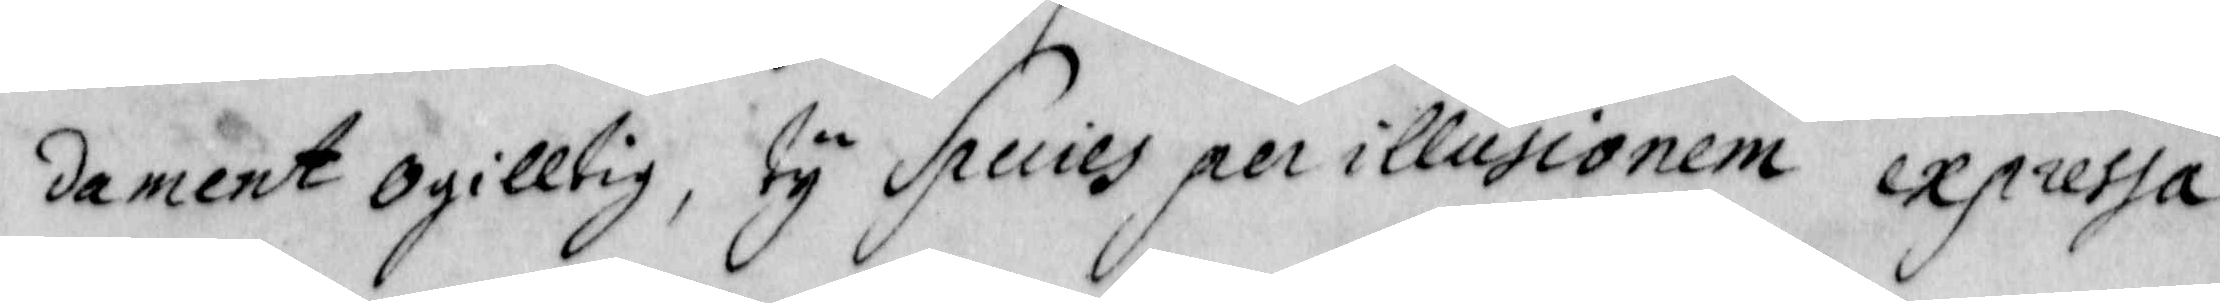dament ogiltig, ty Spuies per illusionem expressa
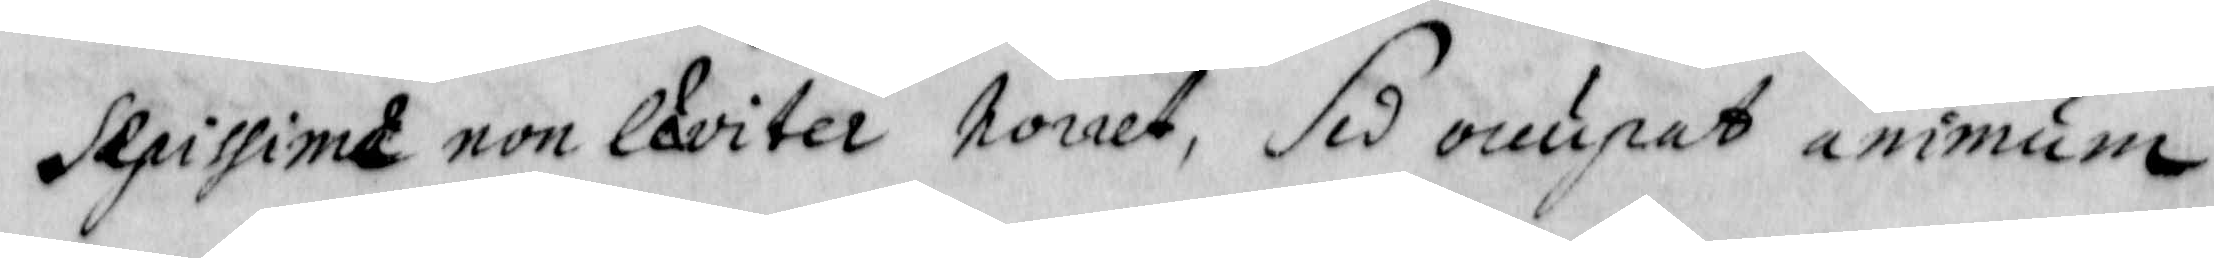sepissimt non ekvitera nirret, sid onupet animum
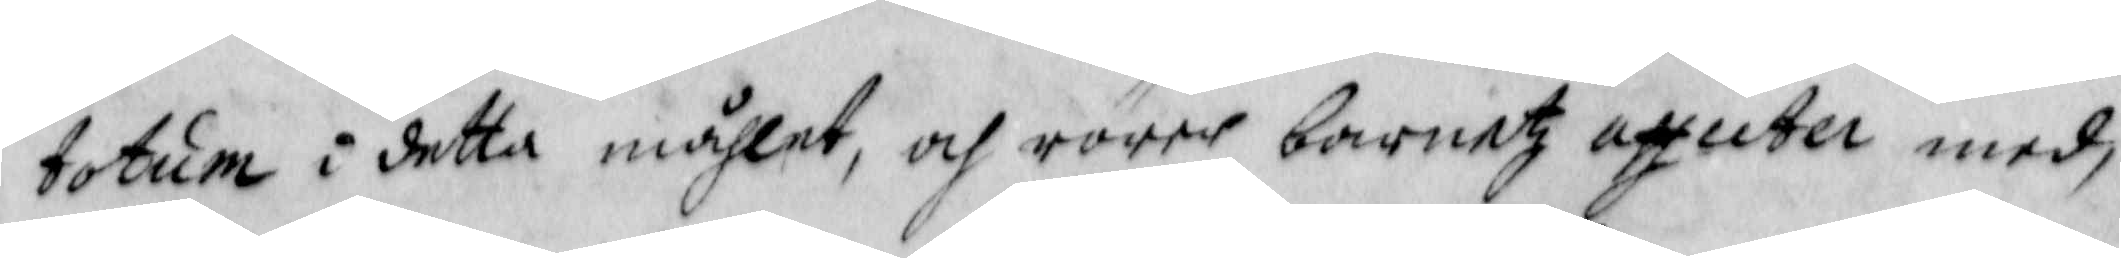totum i detta måhlet, och rörer barnetz affuter med,
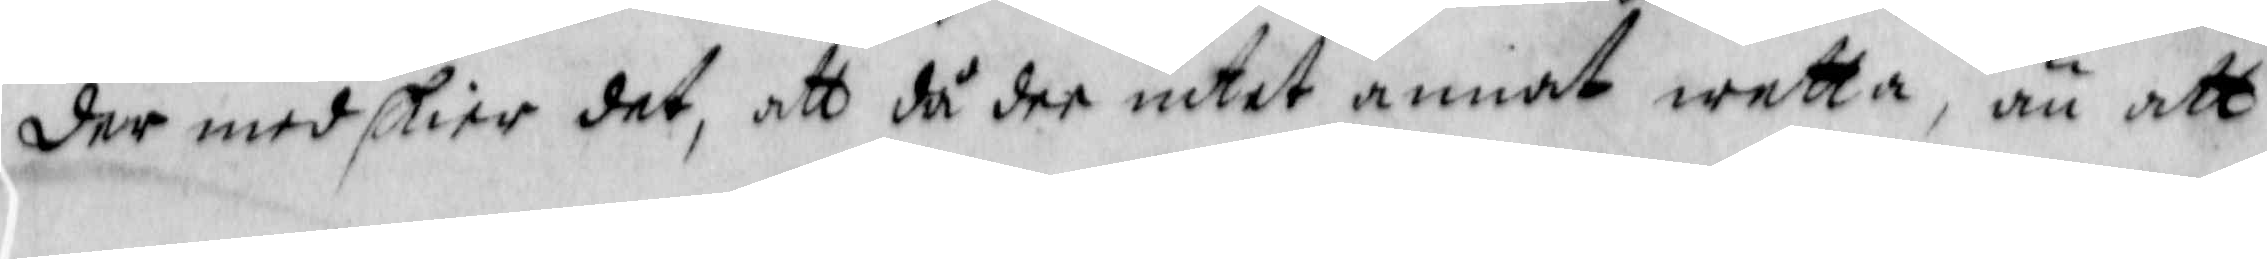der med skier det, att då dee intet annat wetta, än att
